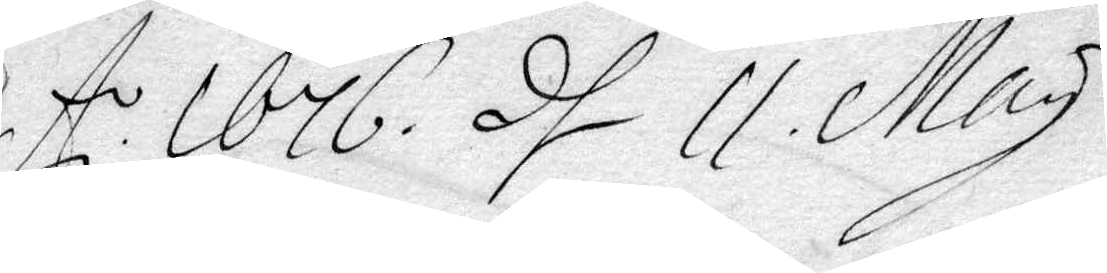A. 1676. d. 11 May
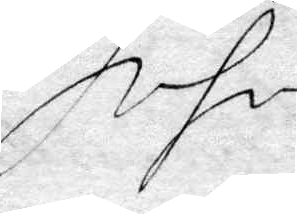Ivfi
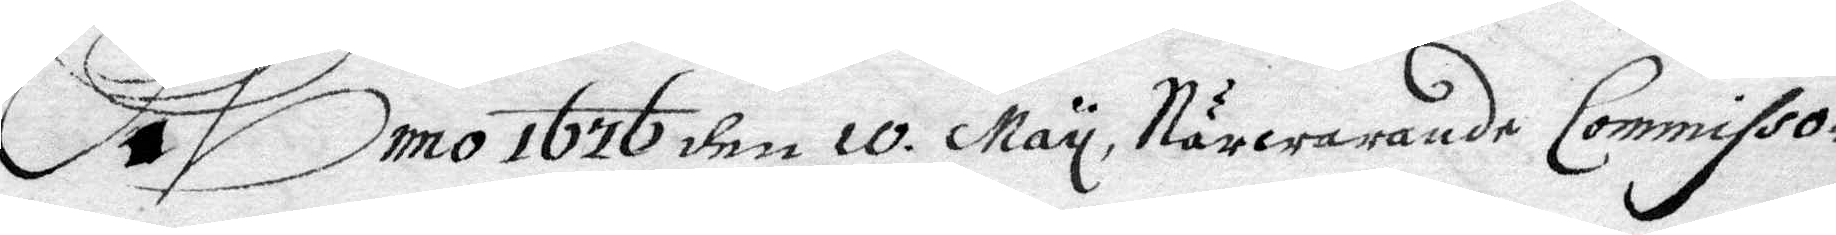Anno 1767 den 10 May, Närvarande Commissio¬
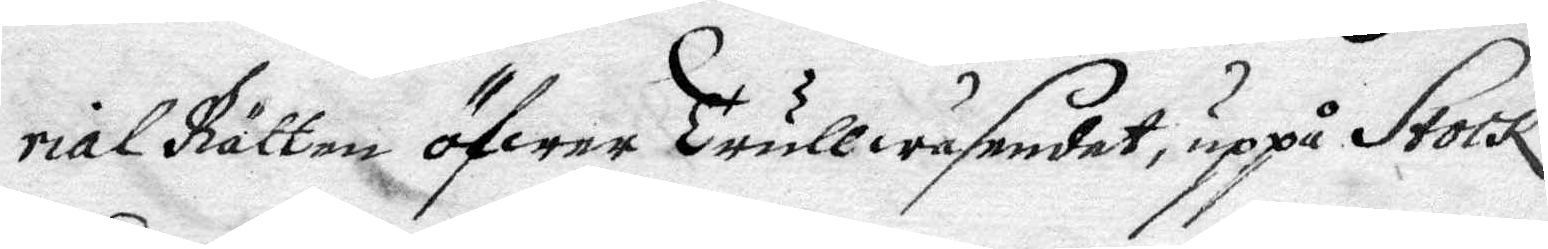rial Rätten öfwer Trullwäsendet, uppå Stock¬
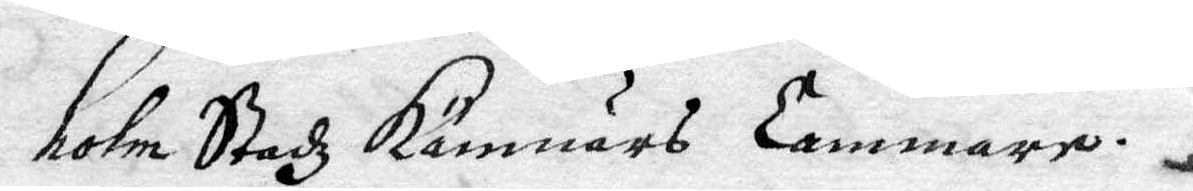holm Stadz Kämnärs Cammare.
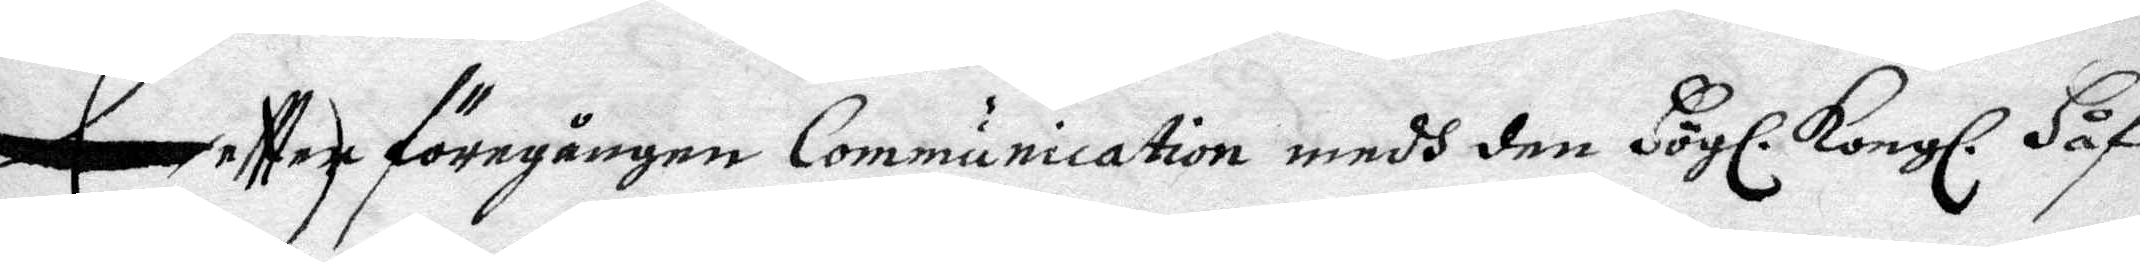Eftter föregången Communication medh den Högl. Kongl. Håf-
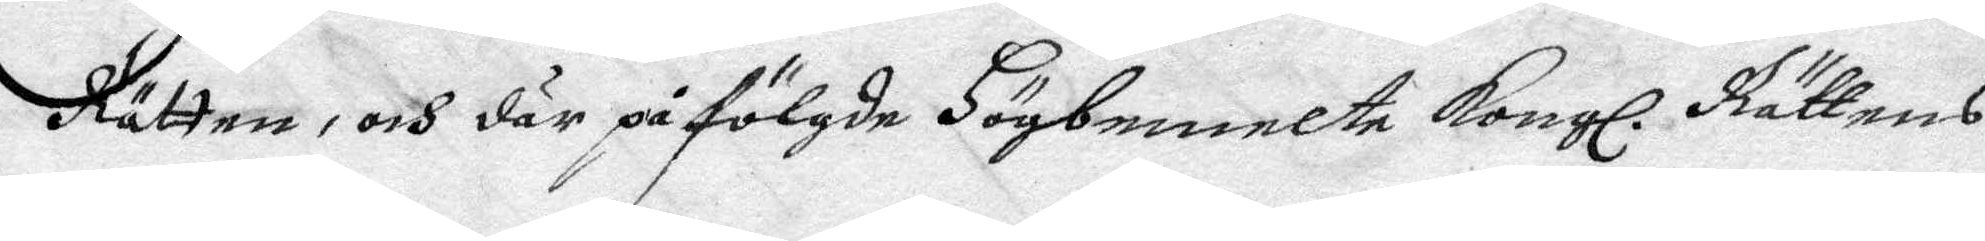Rättens, och där på fölgde Högbemelte Kongl. Rättens
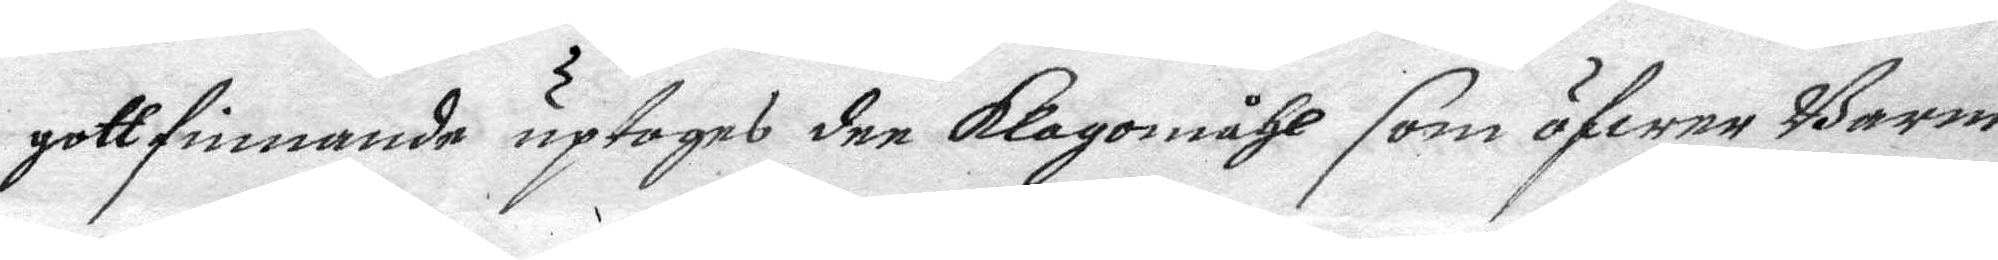gottfinnande uptages dee klagomåhl som öfwer Barne¬
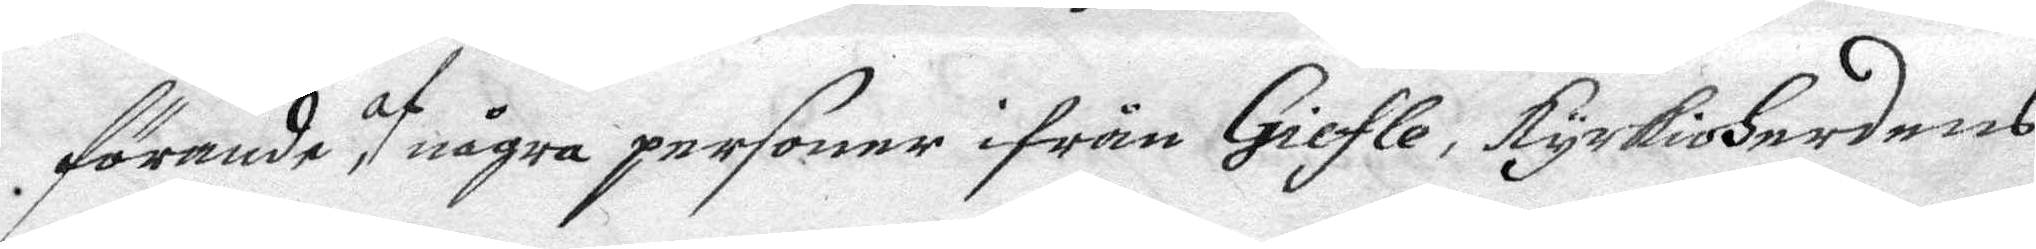förande, af några personer ifrån Giefle, kyrkioHerdens
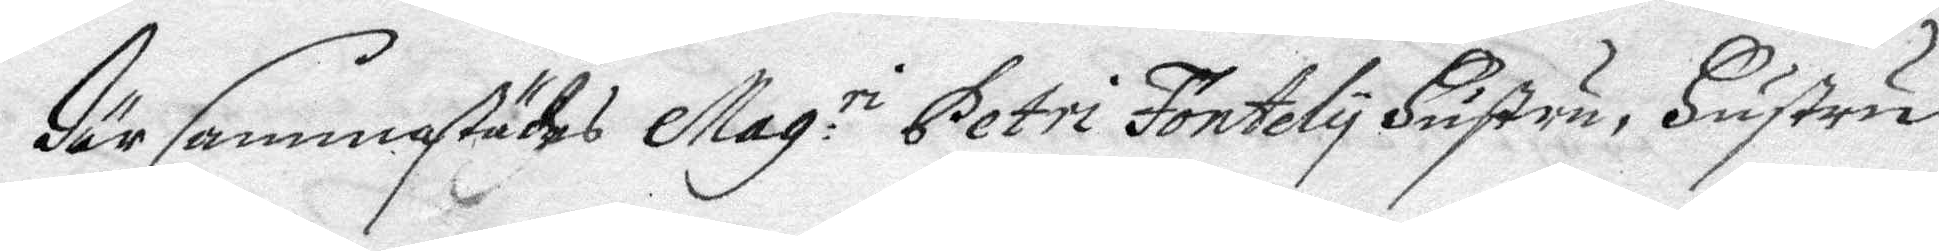därsammastädes Mag.ri Petri Fontely Hustru, Hustru
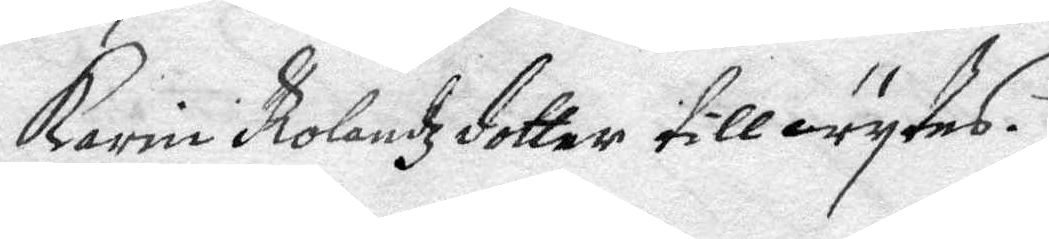Karin Rolandzdotter tillwytes.
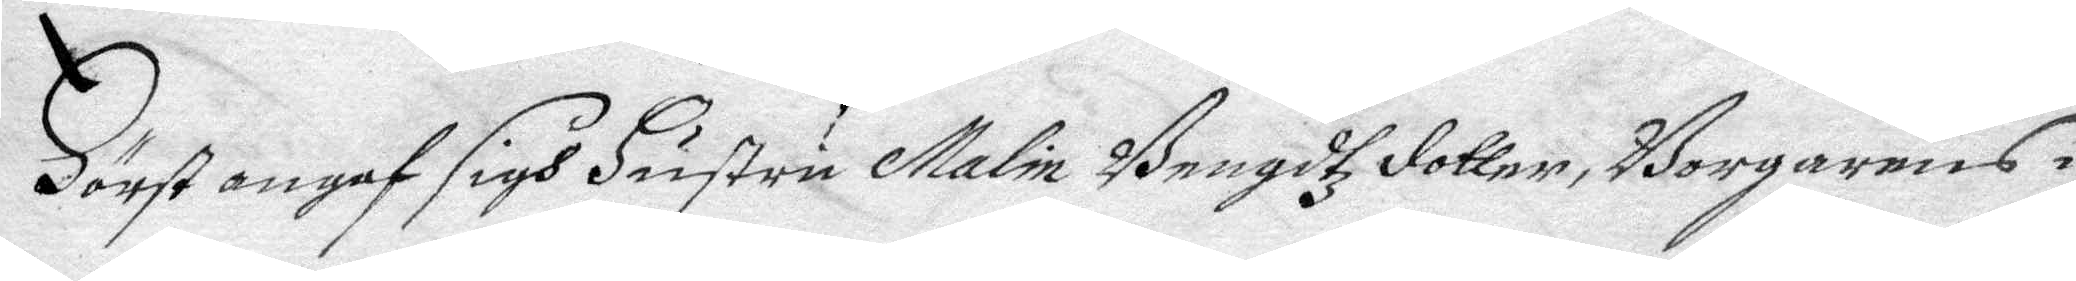Först angaf sigh Hustru Malin Bengdtz dotter, Borgarens i
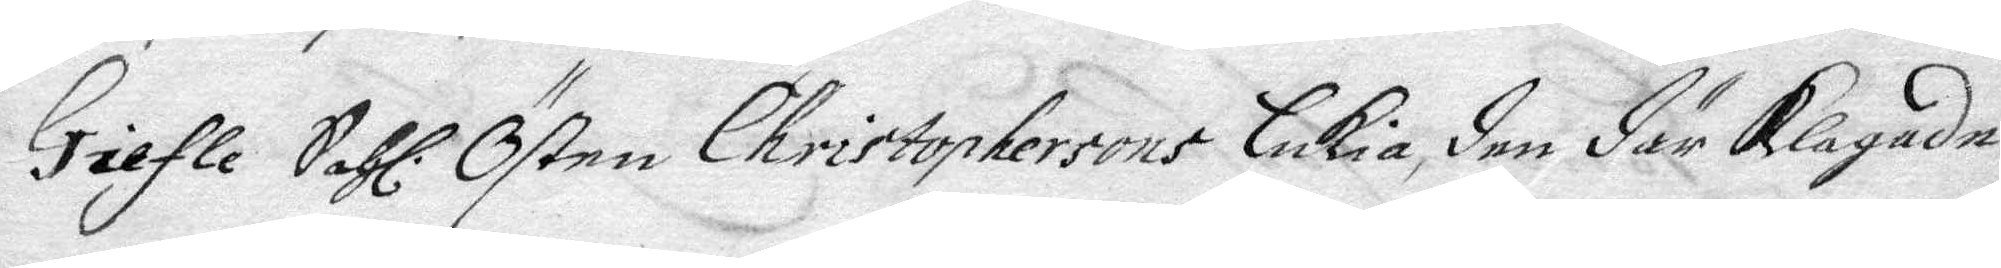Giefle Sahl. Östen Christophersons Enkia, den där klagande
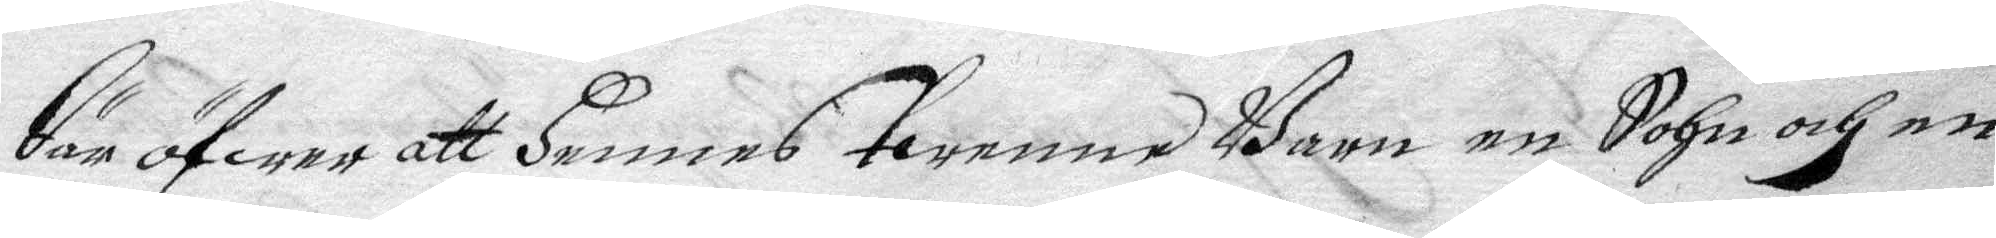där öfwer att Hennes twenne Barn en Sohn och en
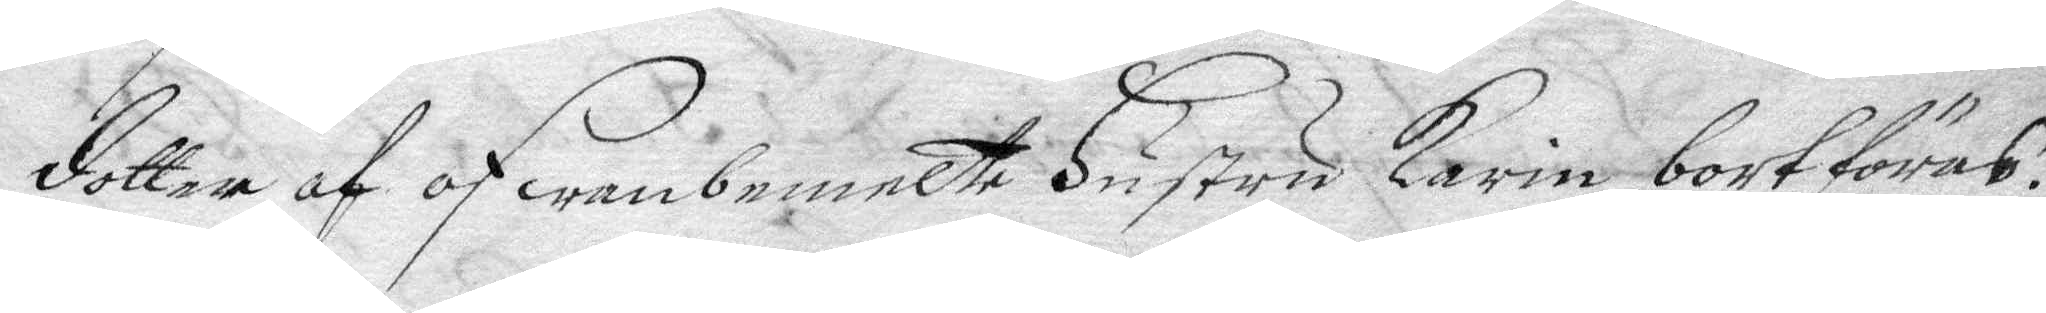dotter af ofwanbemelte Hustru Karin bortföres.
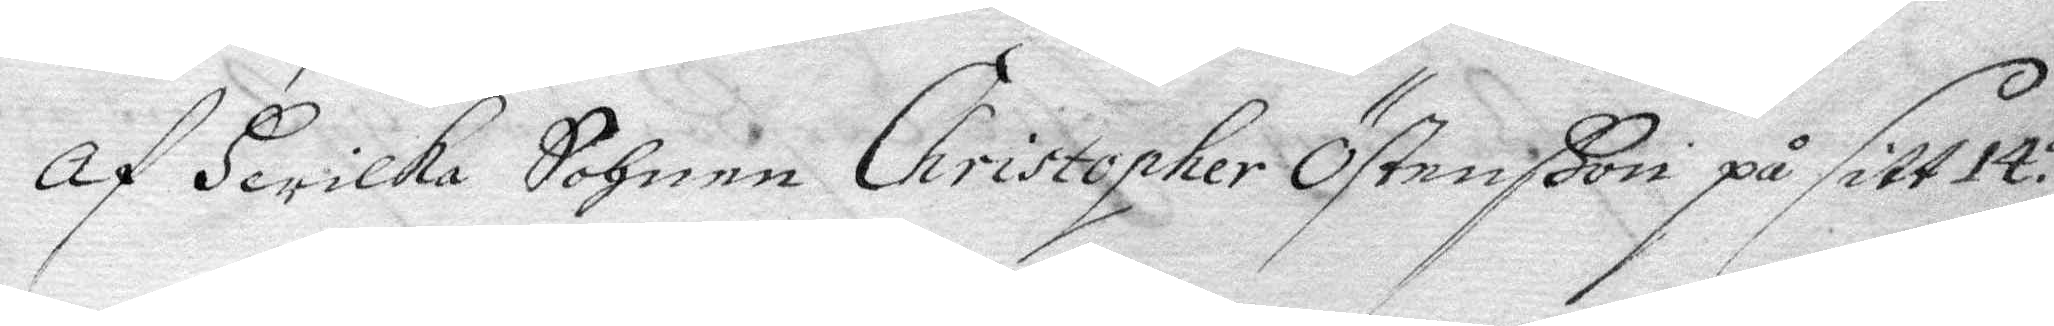Af Hwilka Sohnen Christopher Östenßon på sitt 14.de
